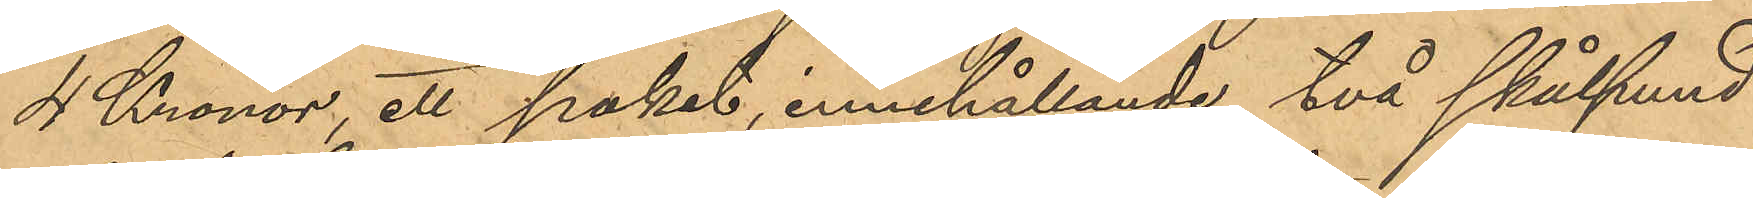4 Kronor, ett paket, innehållande två skålpund
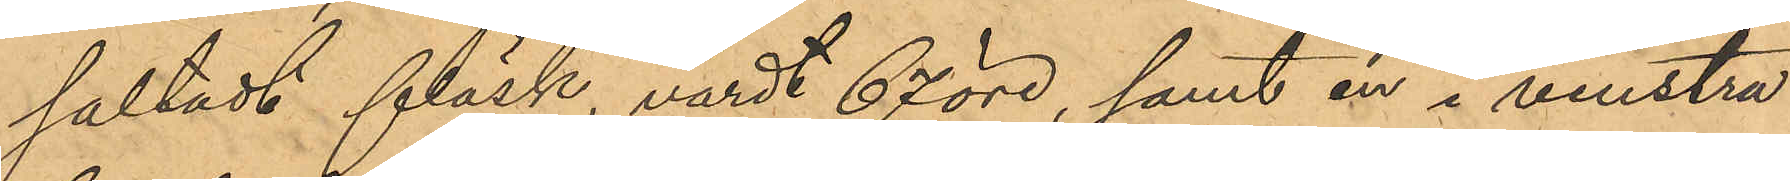saltadt fläsk, värdt 67 öre, samt en i venstra
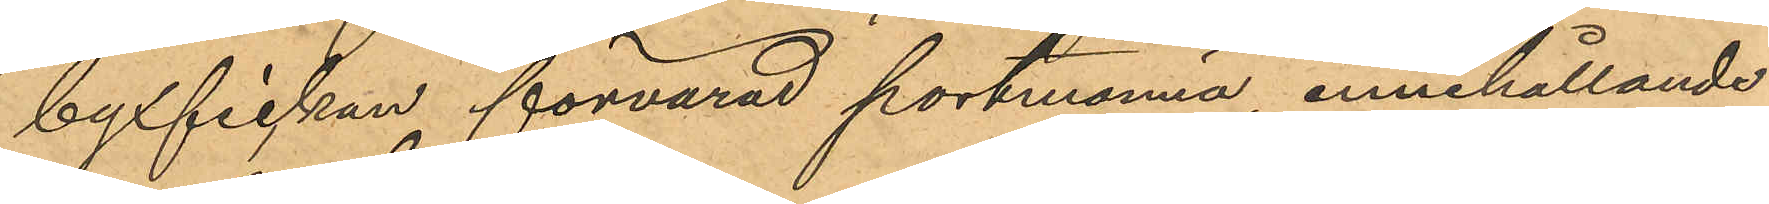byxfickan förvarad portmonnä, innehållande
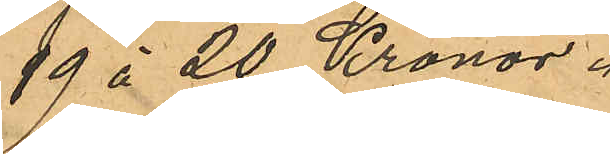19 à 20 Kronor.
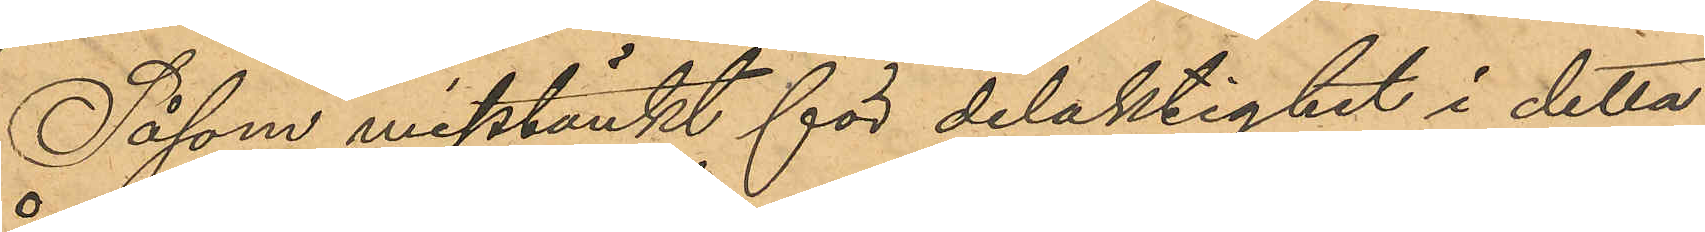Såsom misstänkt för delaktighet i detta
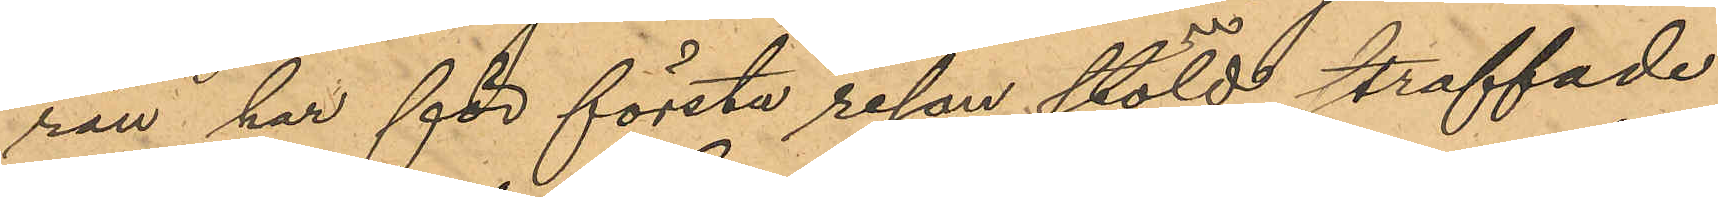rån har för första resan stöld straffade
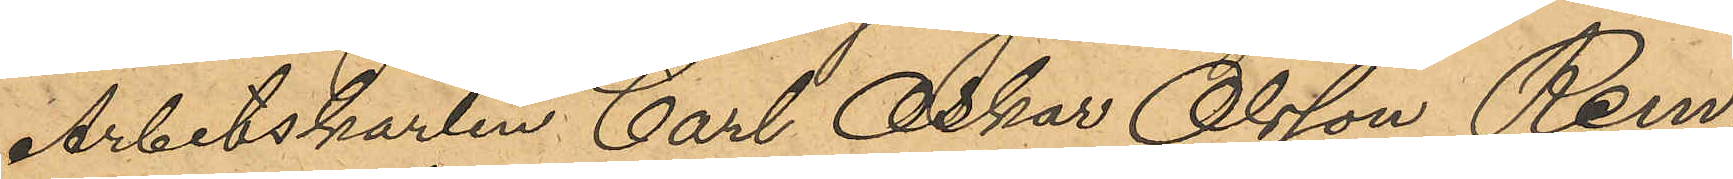Arbetskarlen Carl Oskar Olsson Rem,
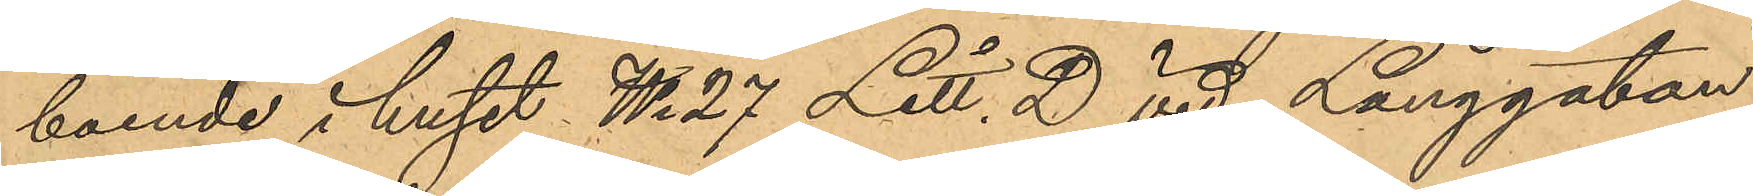boende i huset No 27 Litt. D vid Långgatan
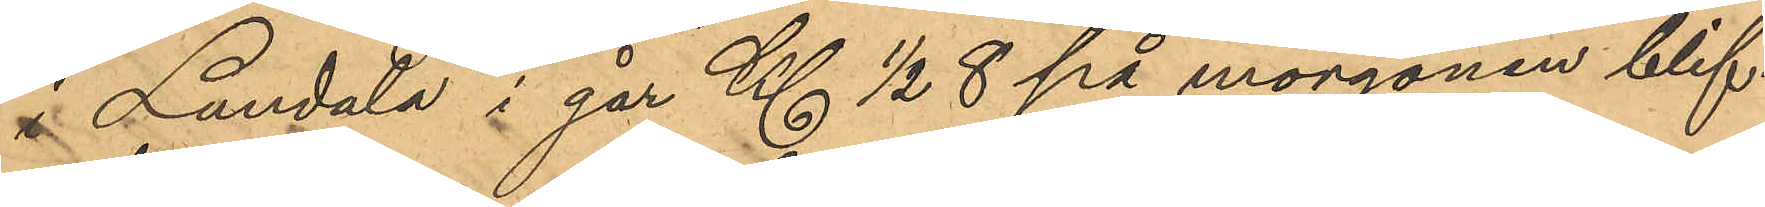i Landala i går Kl ½ 8 på morgonen blif¬
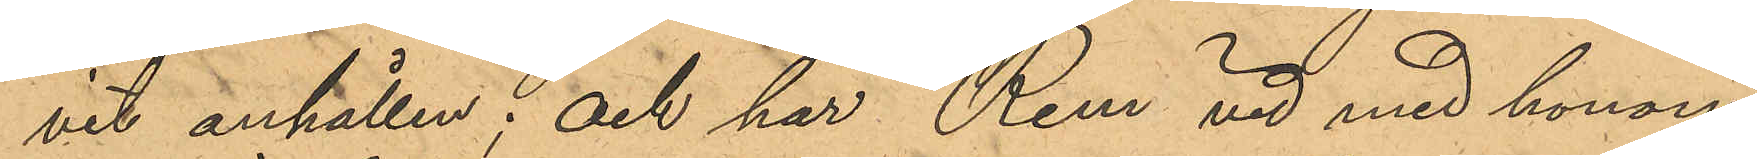vit anhållen; och har Rem vid med honom
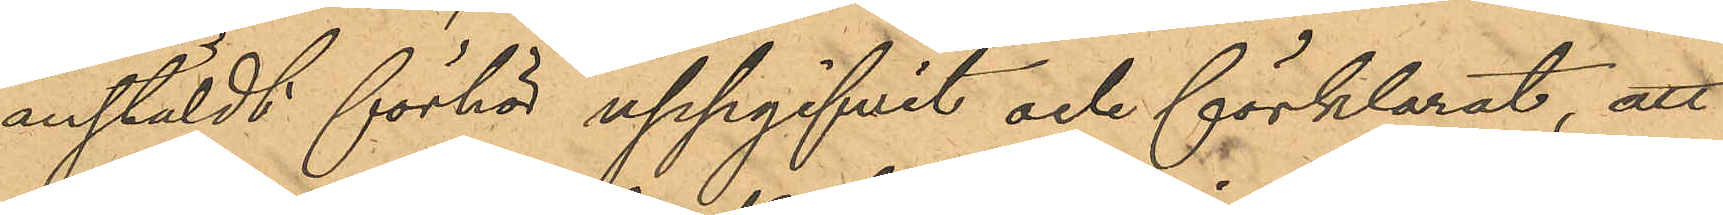anstäldt förhör uppgifvit och förklarat, att
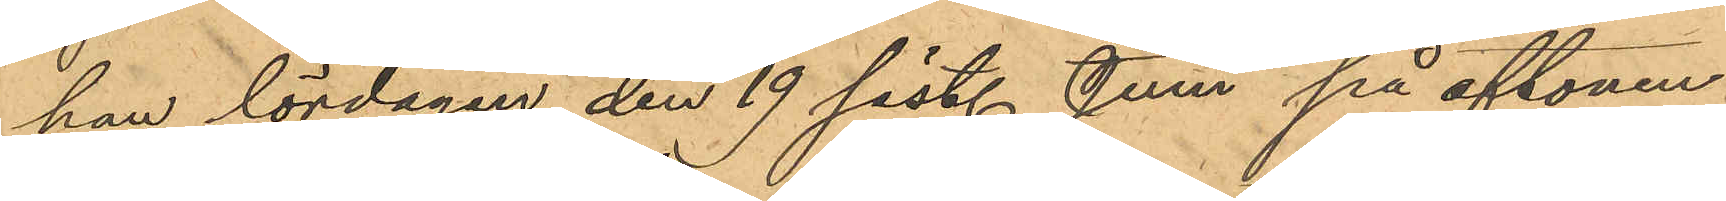han lördagen den 19 sist. Juni på aftonen
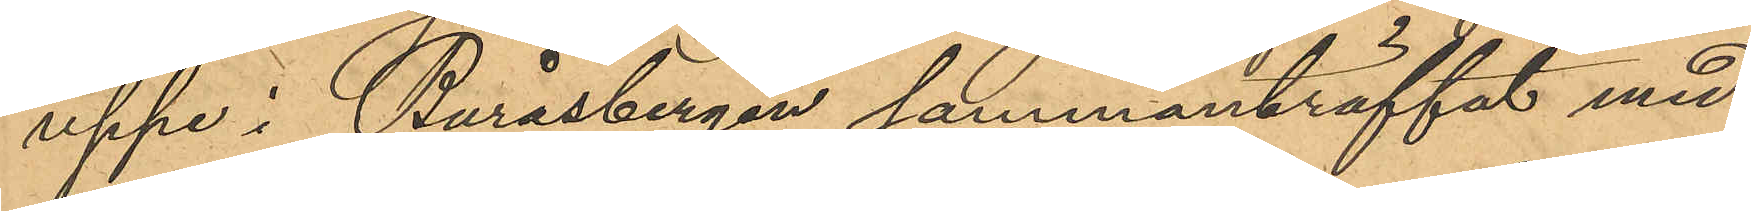uppe i Buråsbergen sammanträffat med
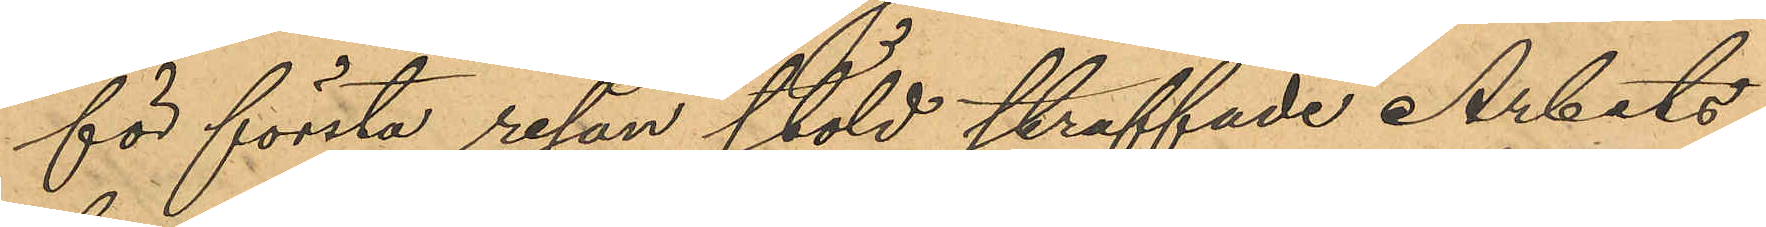för första resan stöld straffade Arbets¬
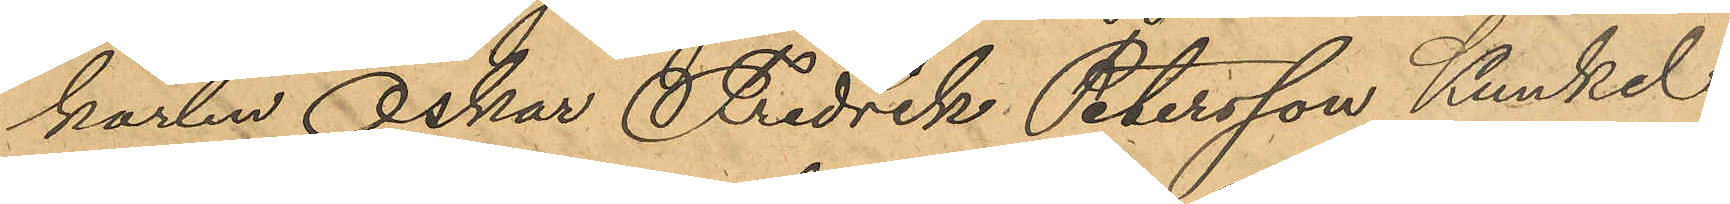karlen Oskar Fredrik Petersson Kunkel
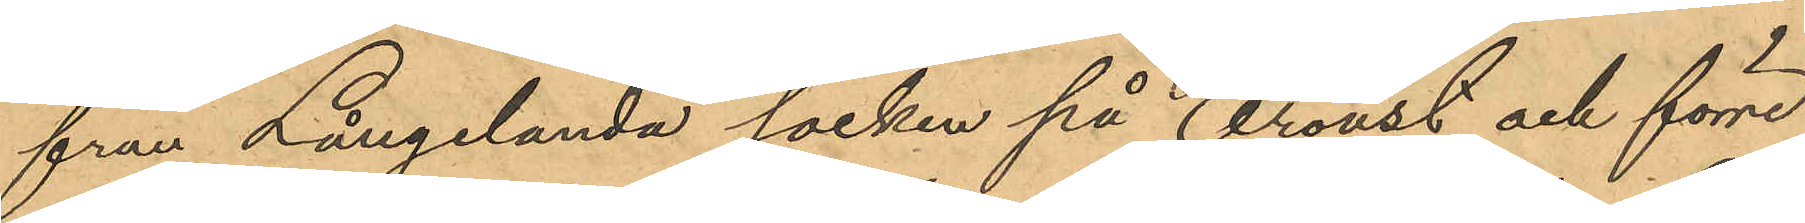från Långelanda socken på Oroust och förre
